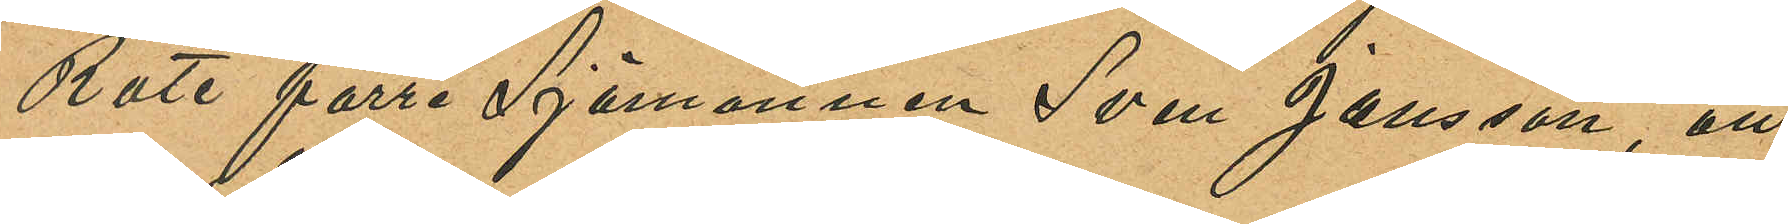Rote förre Sjömannen Sven Jansson, att
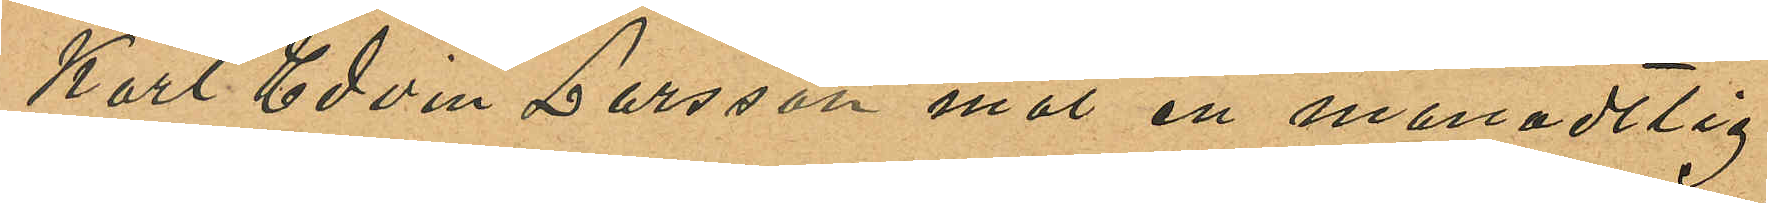Karl Edvin Larsson mot en månadtlig
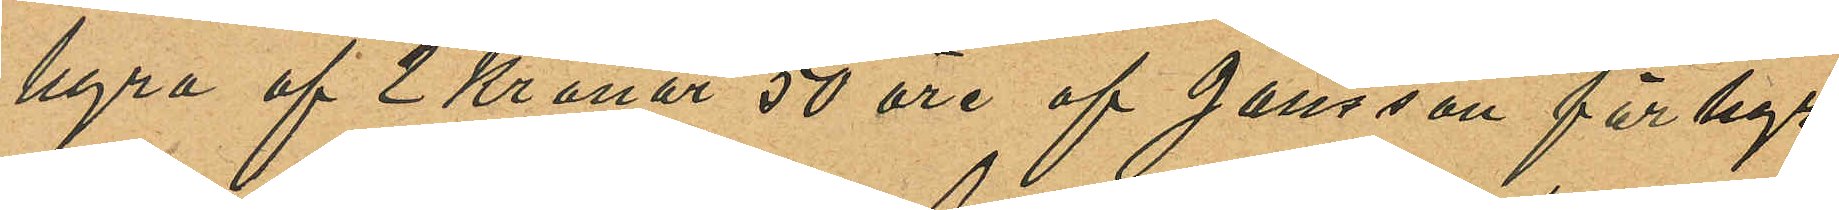hyra af 2 Kronor 50 öre af Jansson förhyr
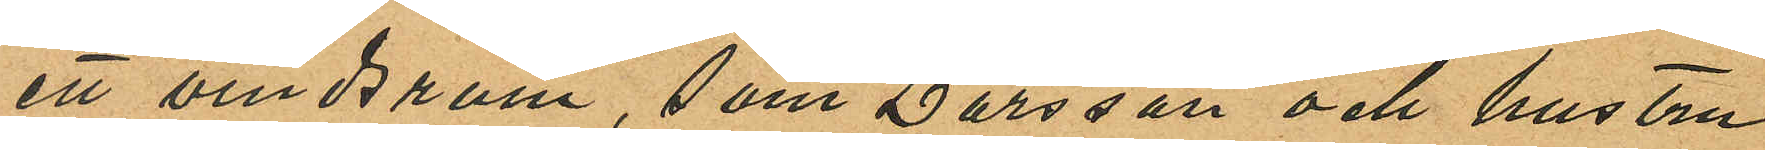ett vindsrum, som Larsson och hustru
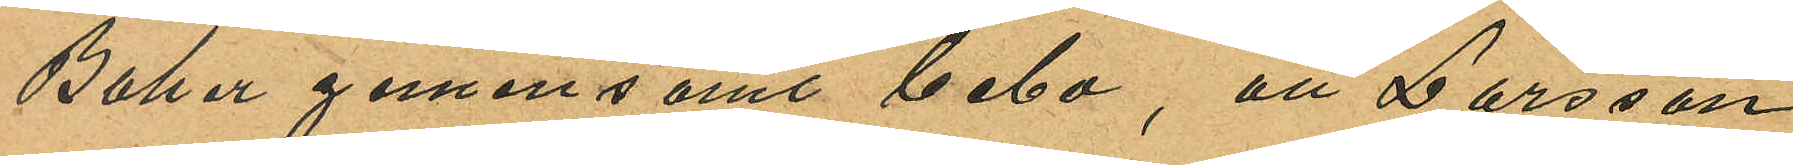Baker gemensamt bebo, att Larsson
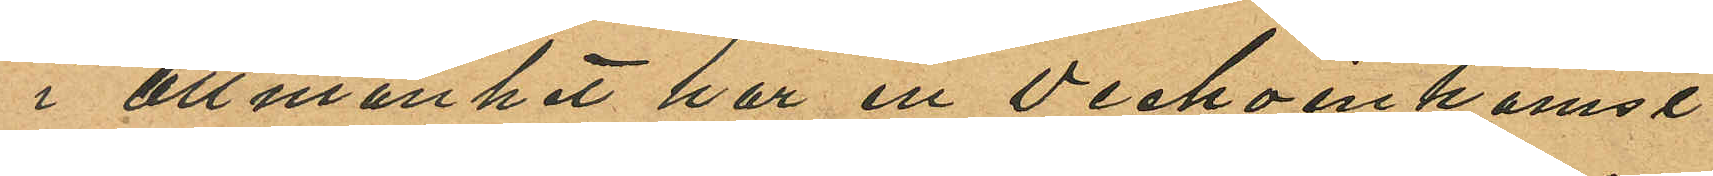i allmänhet har en veckoinkomst
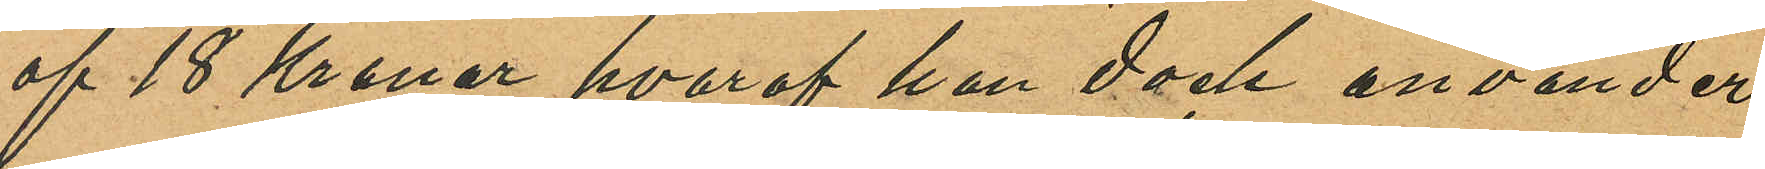af 18 Kronor hvaraf han dock använder
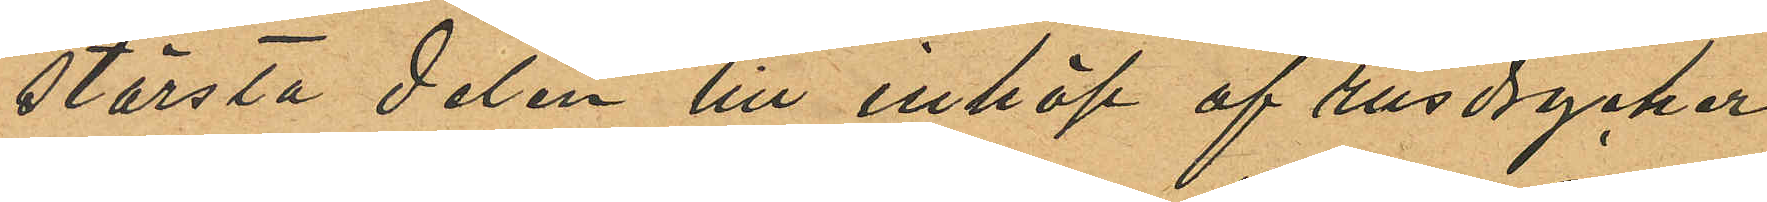största delen till inköp af rusdrycker
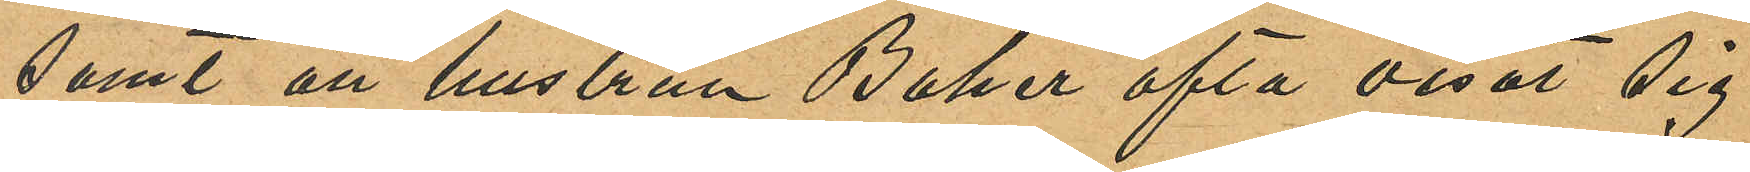samt att hustrun Baker ofta visat sig
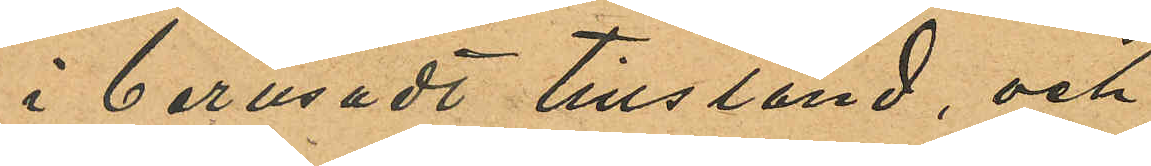i berusadt tillstånd, och
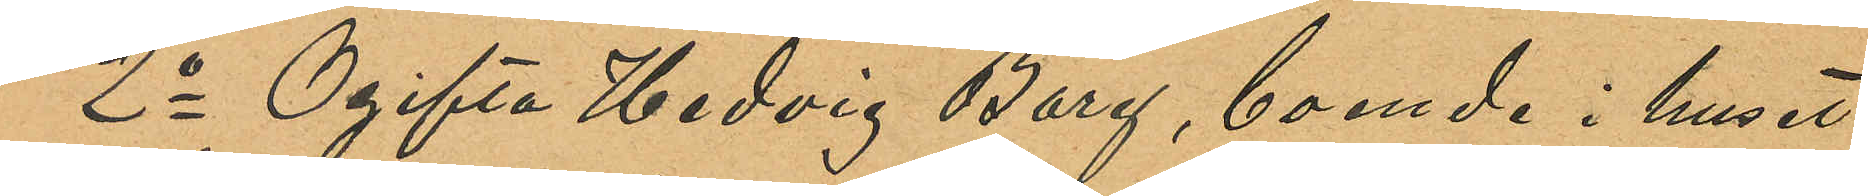2o Ogifta Hedvig Borg, boende i huset
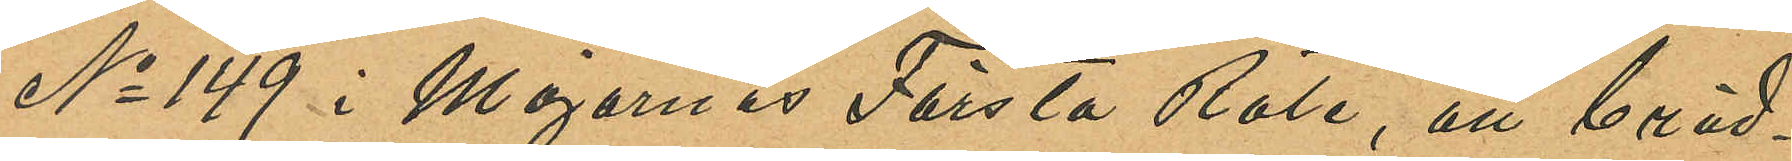No 149 i Majornas Första Rote, att bräd¬
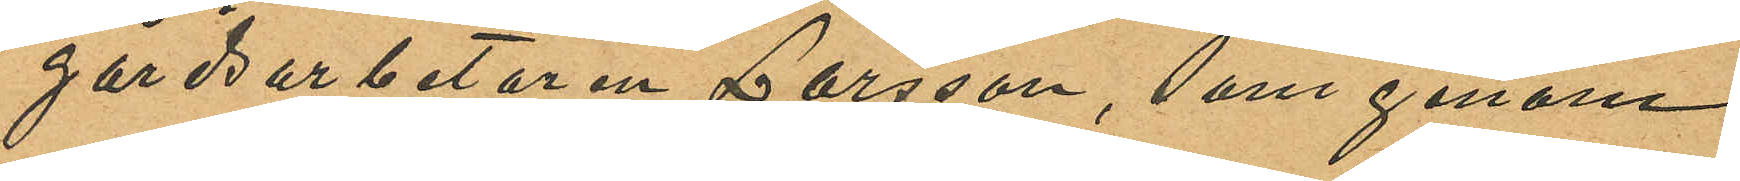gårdsarbetaren Larsson, som genom
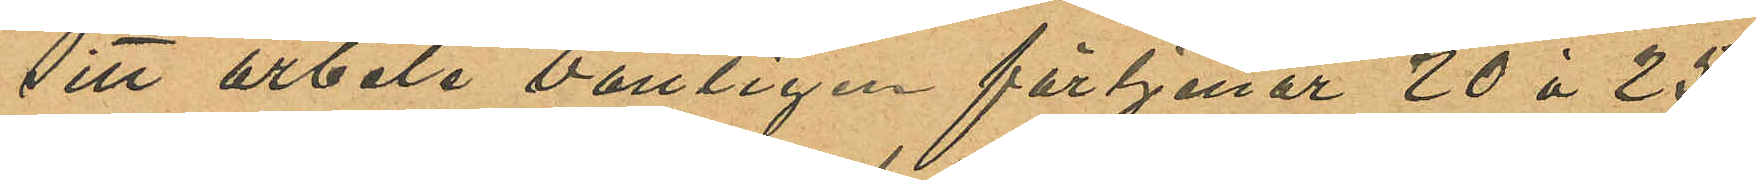sitt arbete vanligen förtjenar 20 à 25
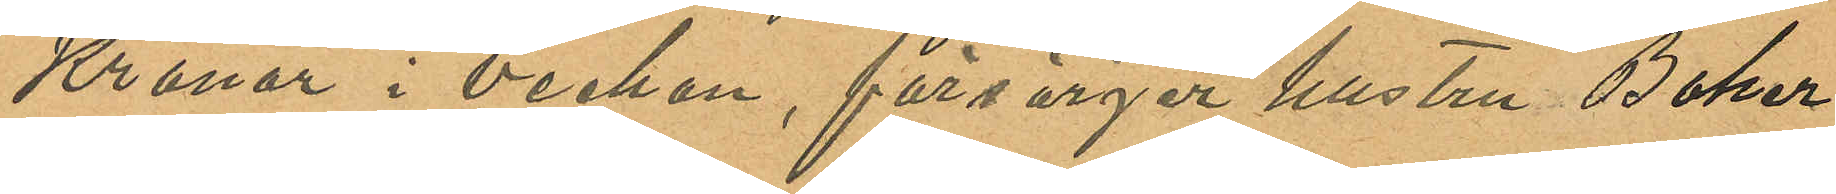Kronor i veckan, försörjer hustru Baker
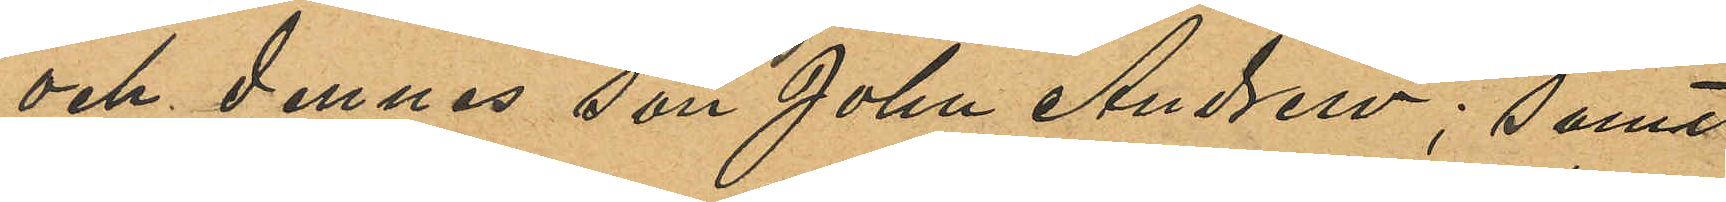och dennes son John Andrew; samt
